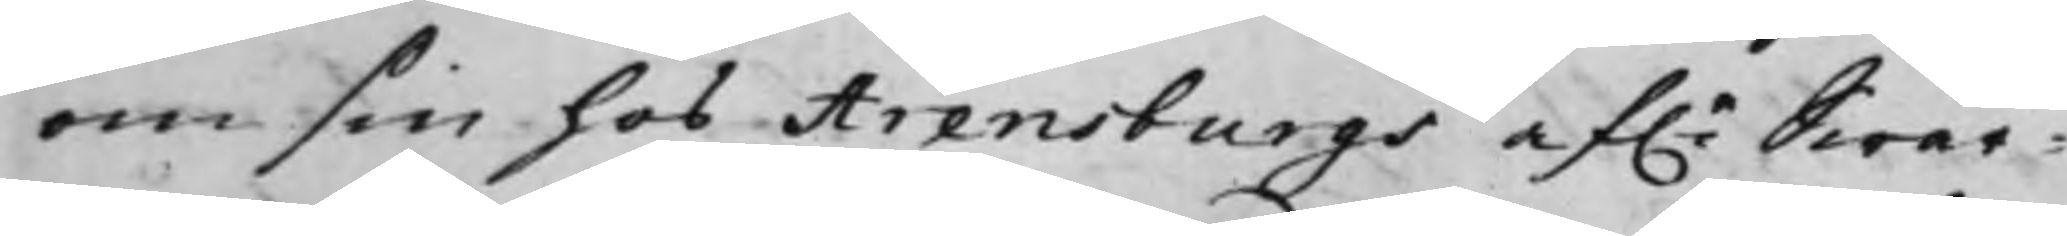om sin hos Arenburgs af.e Swär¬
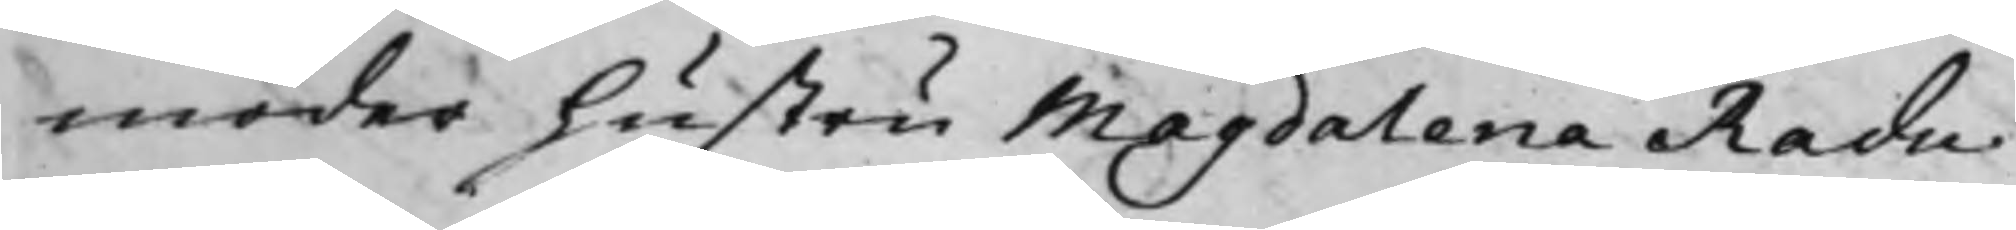moder hustru Magdalena Radu
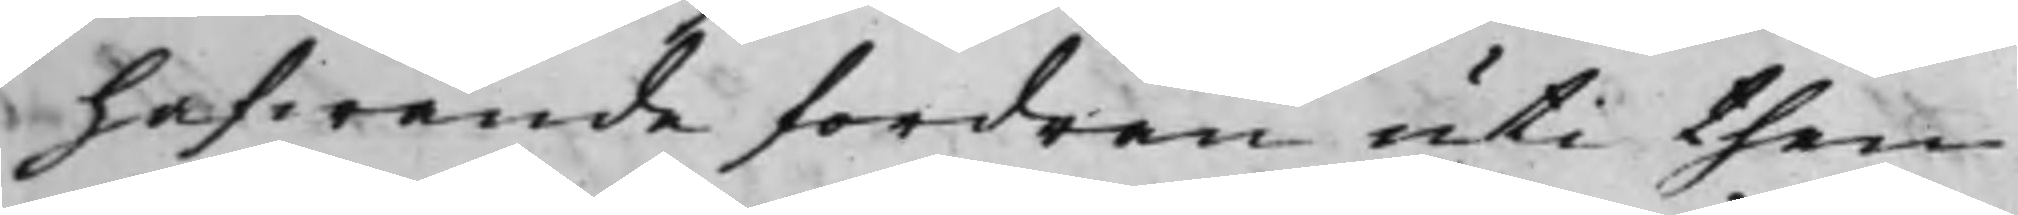hafwande fordran uti then
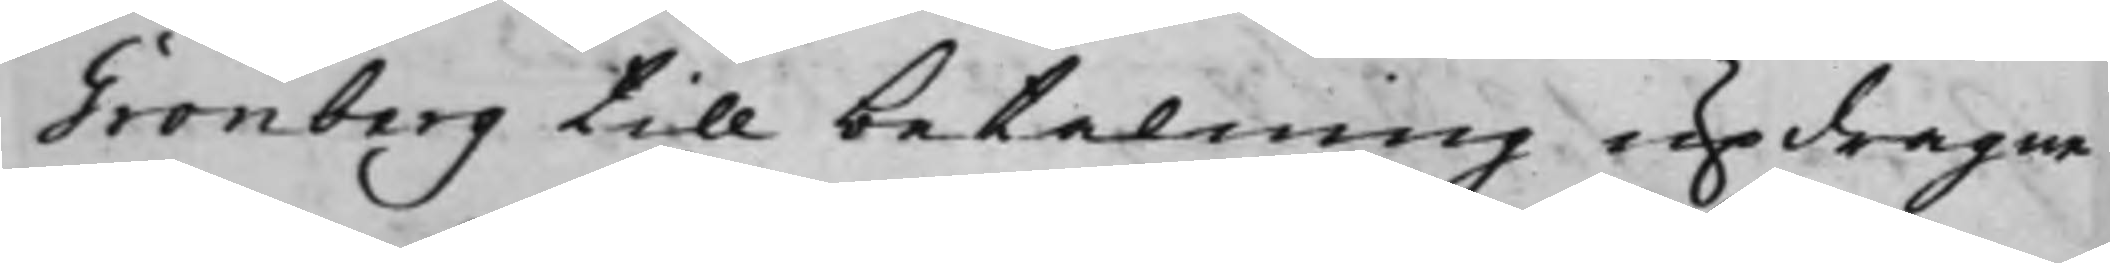Grönberg till betalning updragne
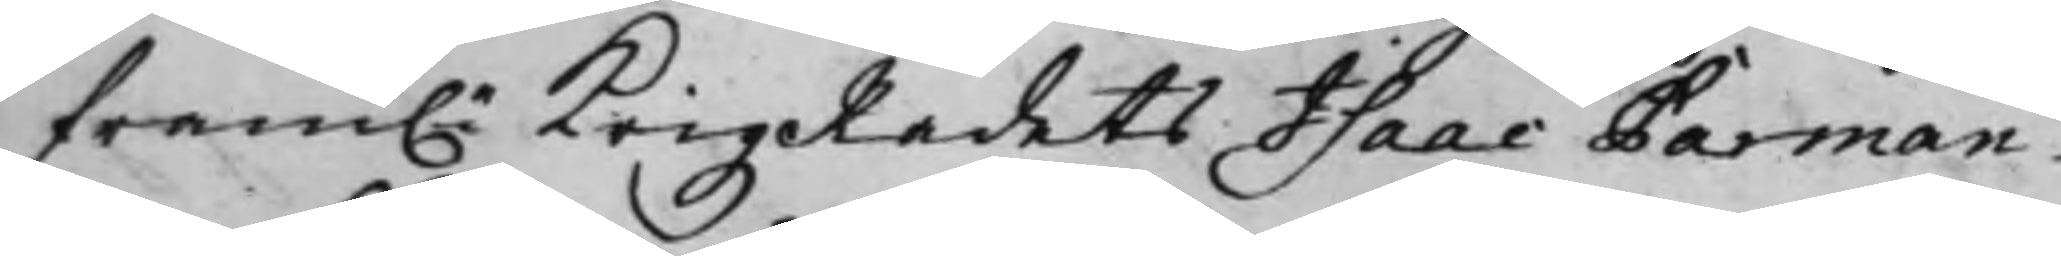fram.e KrigzRådets Isaac Parman¬
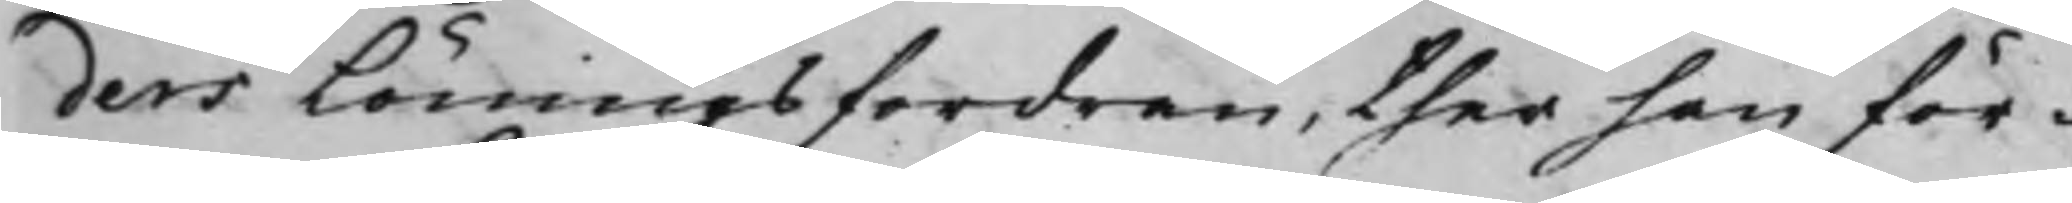ders Lönings fordran, ther han för¬
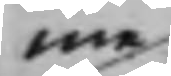me
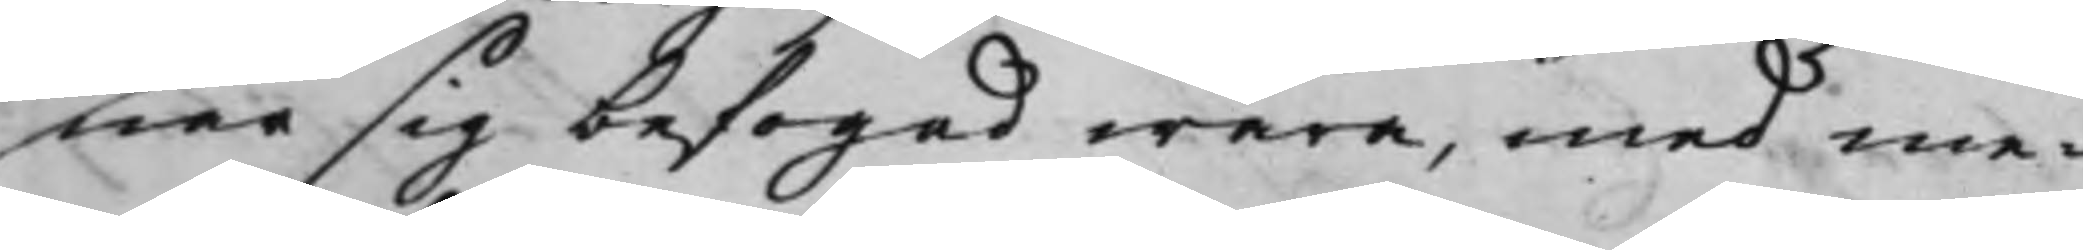nar sig befogad wara, med me¬
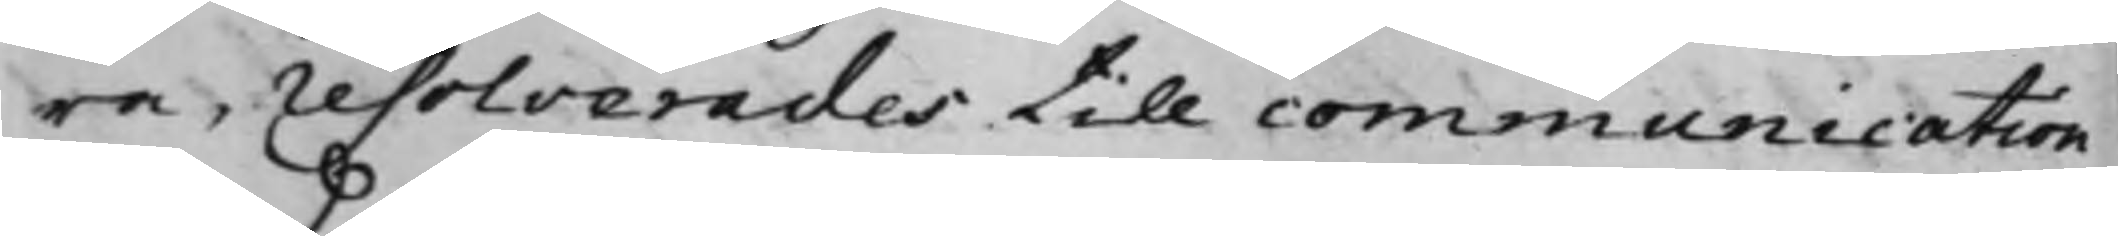ra, resolverades till communication
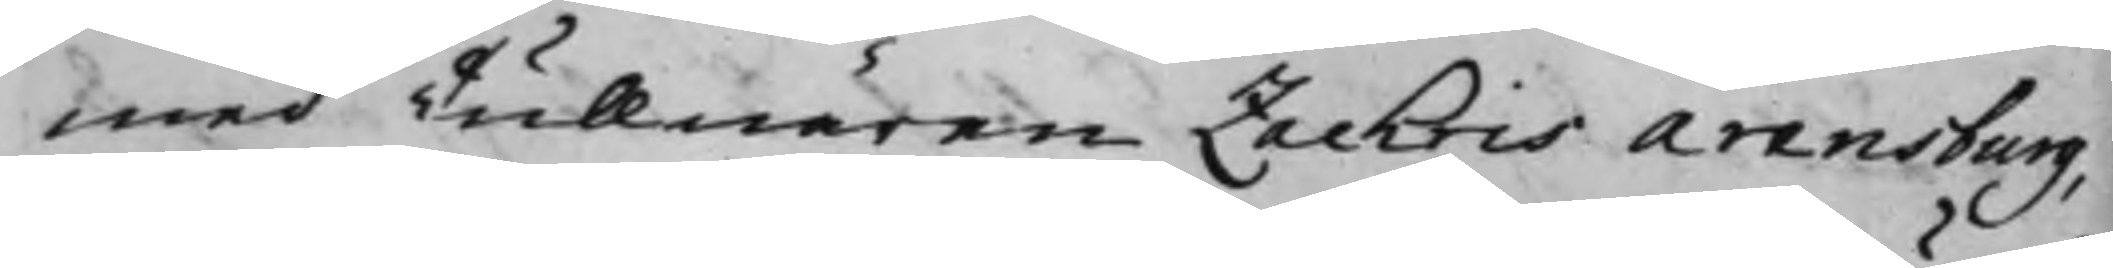med Tullnären Zachris Arensburg,
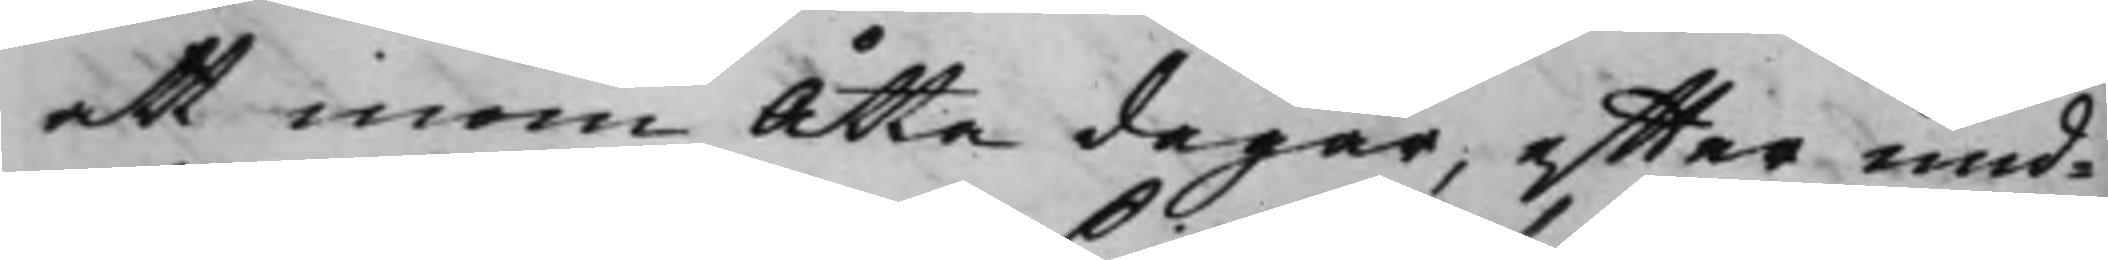att inom Åtta dagar, effter und¬
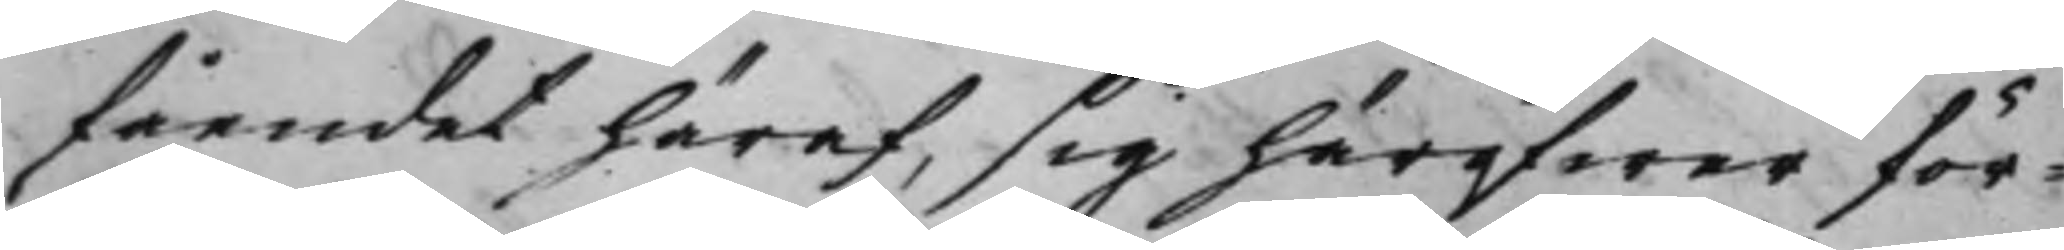fåendet häraf, sig häröfwer för¬
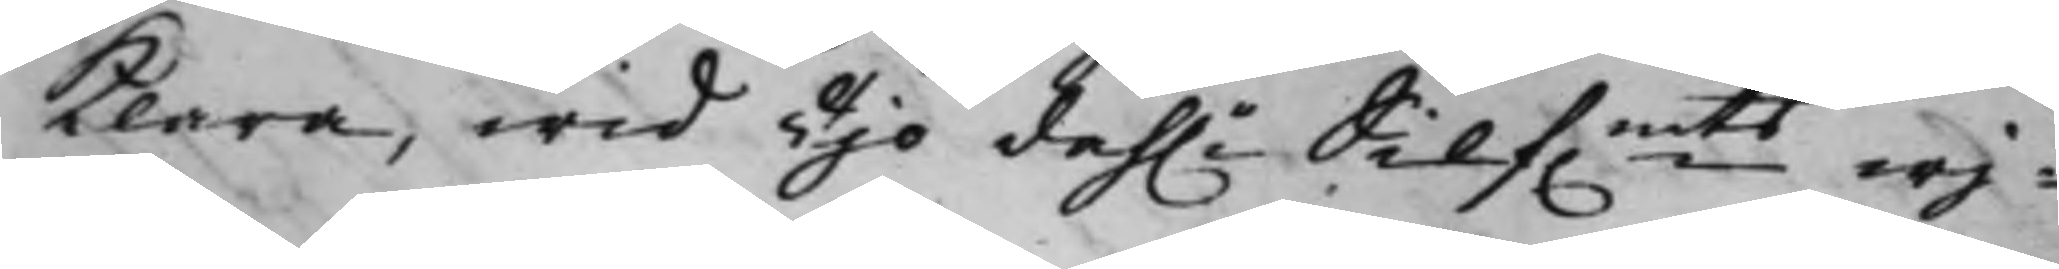klara, wid Tijo dah.r Silf.mts wij¬
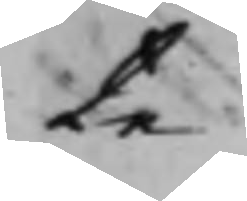te.
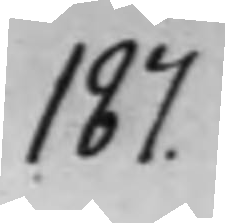187.
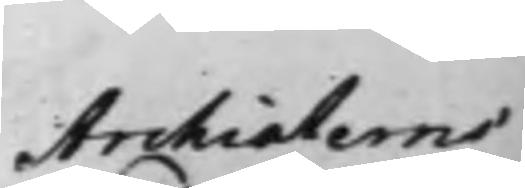Archiaterns
